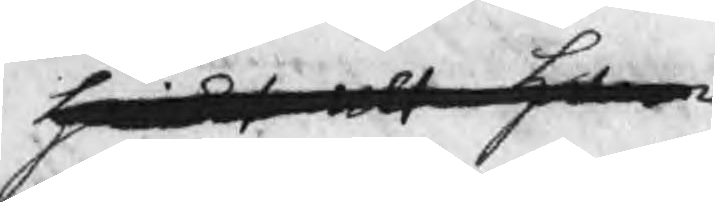hwilket alt ham
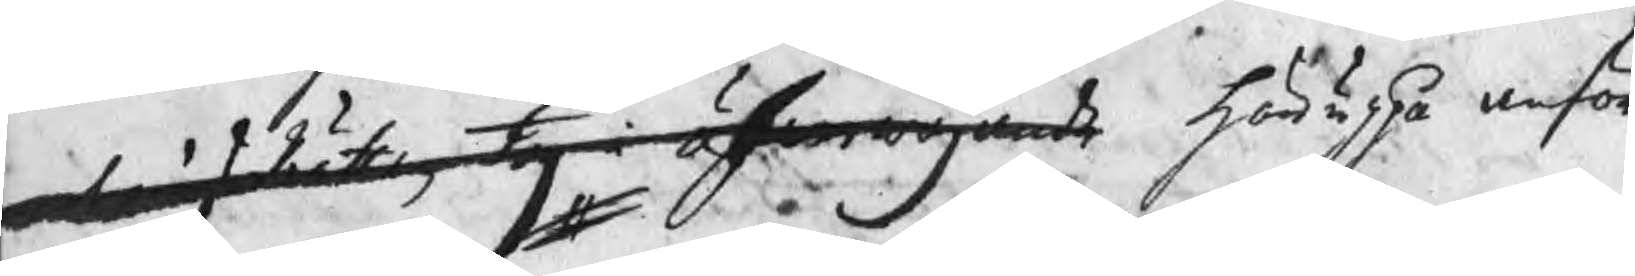martingsRätten, tog i öfwerwägande häruppå anför
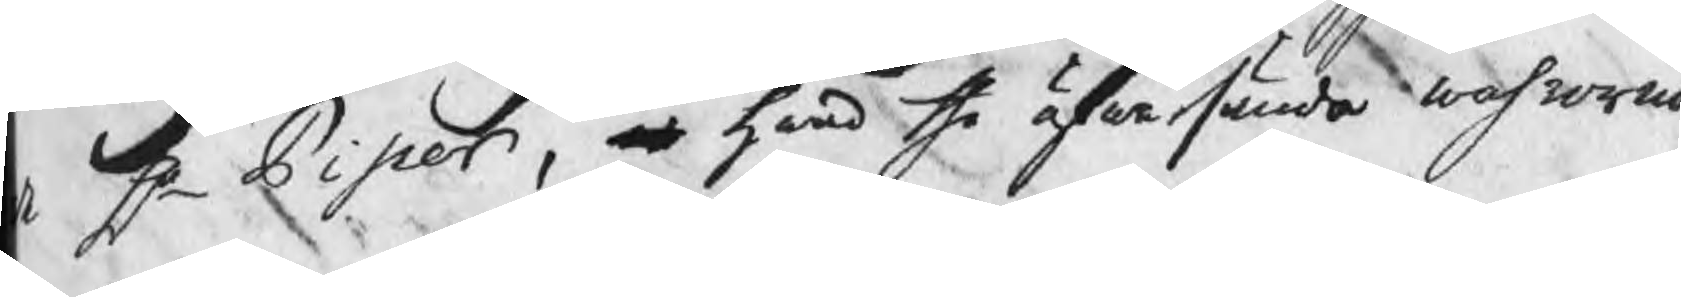de Hr Piper, at hwad the öfwersända wahrorna
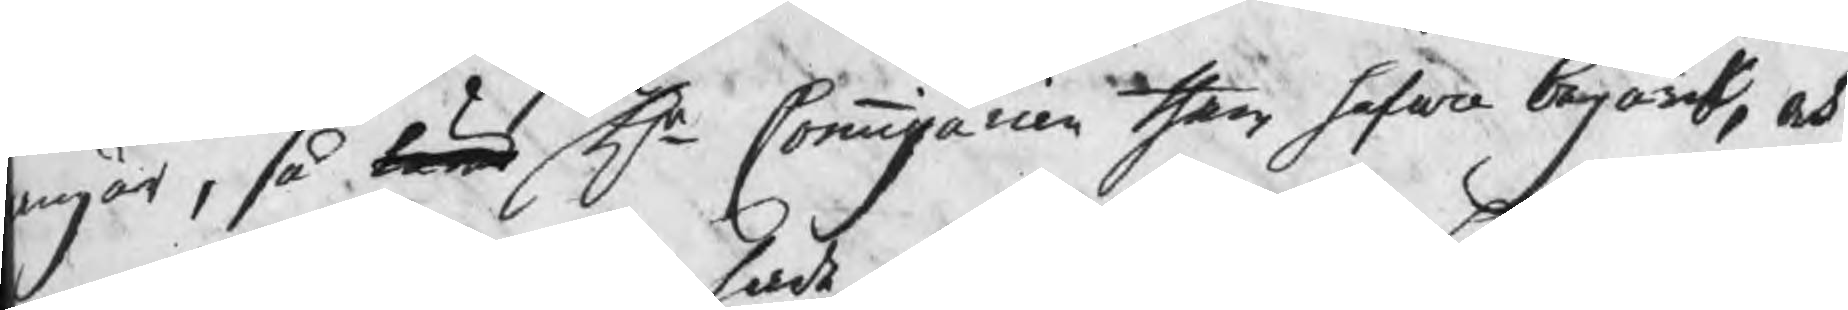angår, så böra Hr Commissarien them hafwa begärdt, och
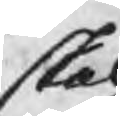skal
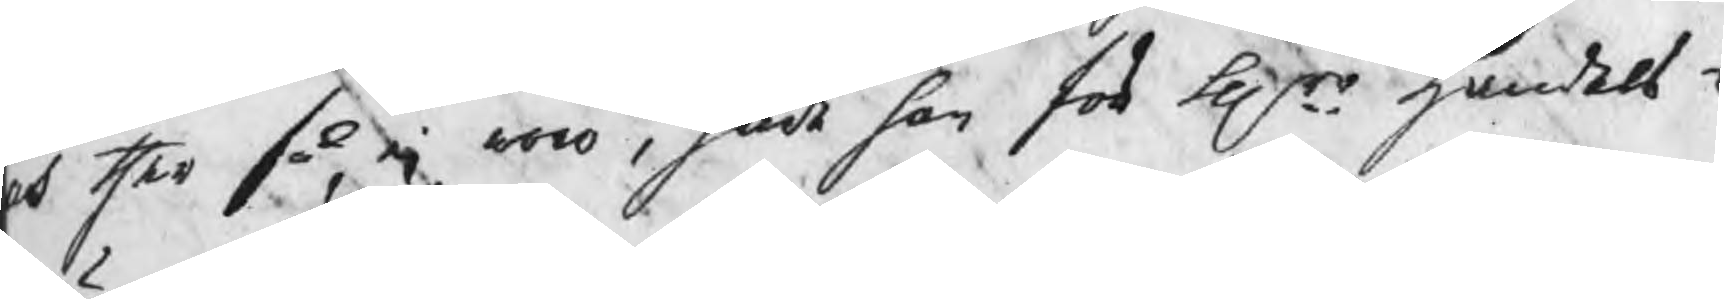och ther så ej woro, hade han för Hrr handels¬
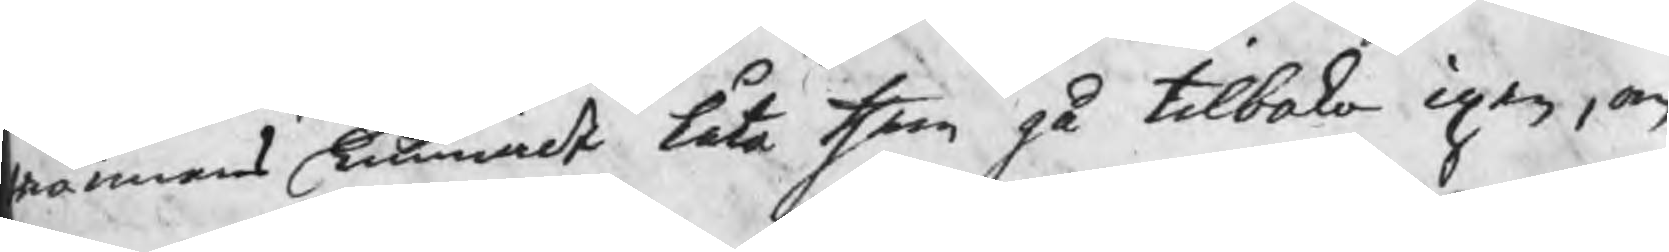männens kunnat l¨ta them gå tilbaka igen, om
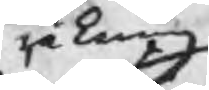räkning
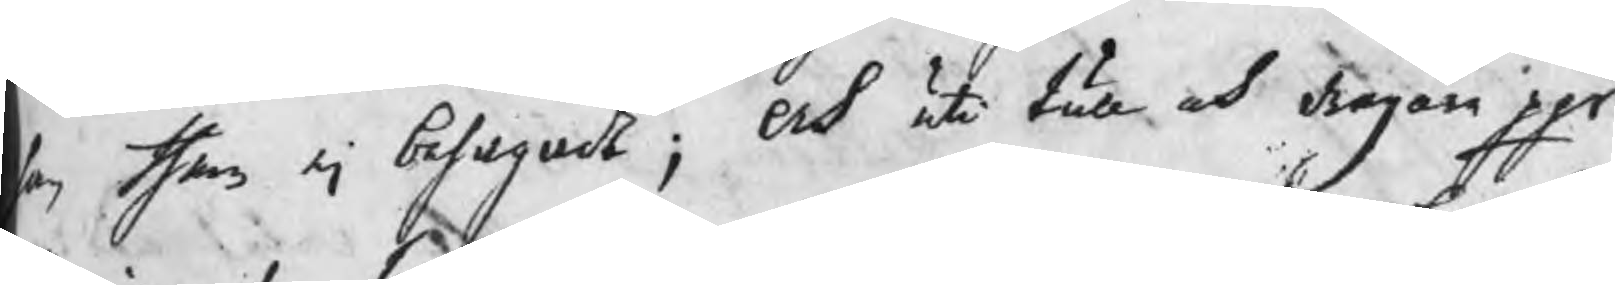an them ej behagat: Och uti tull och dragare pgr
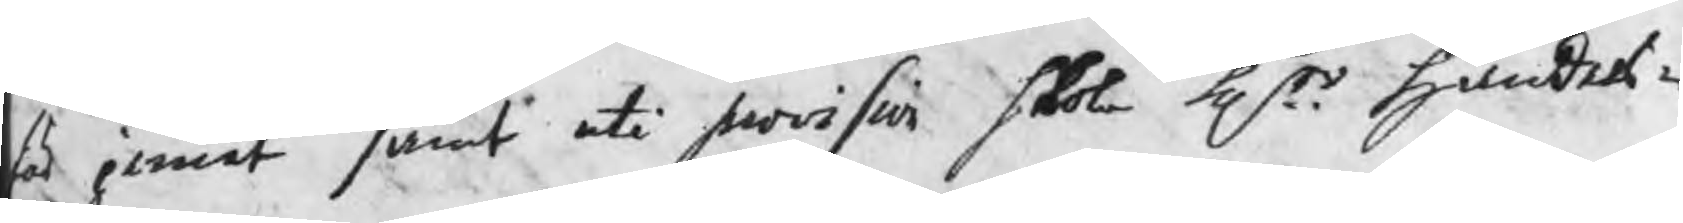förjernet samt uti provision skola Hrr handels¬
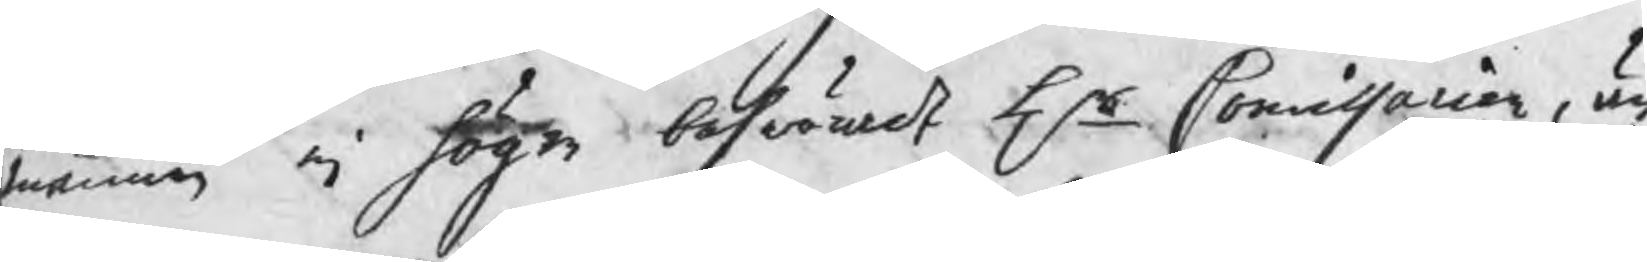männen ej högre beswärat Hr Commissarien, än
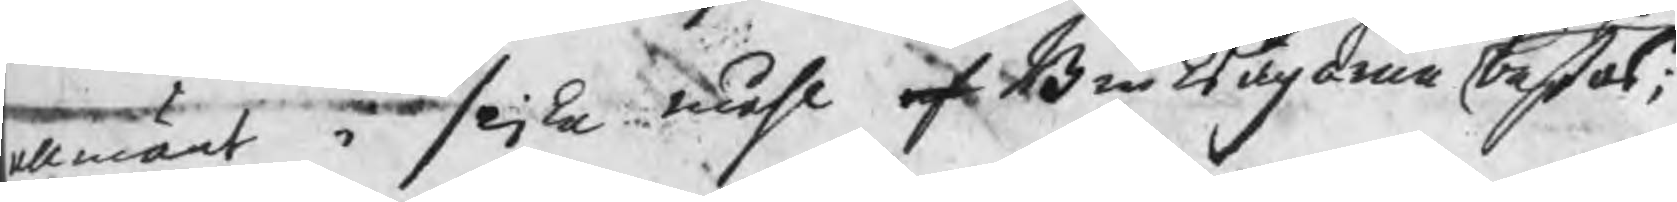allmänt i slika måhl af Bruksägarna bestås;
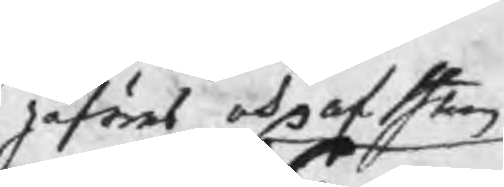påföras och af them
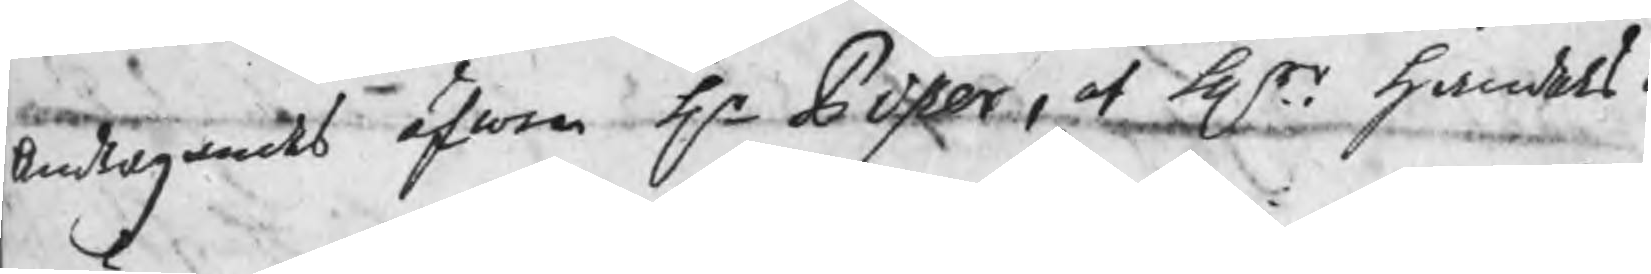Andragandes äfwen Hr Piper, at Hrr handels¬
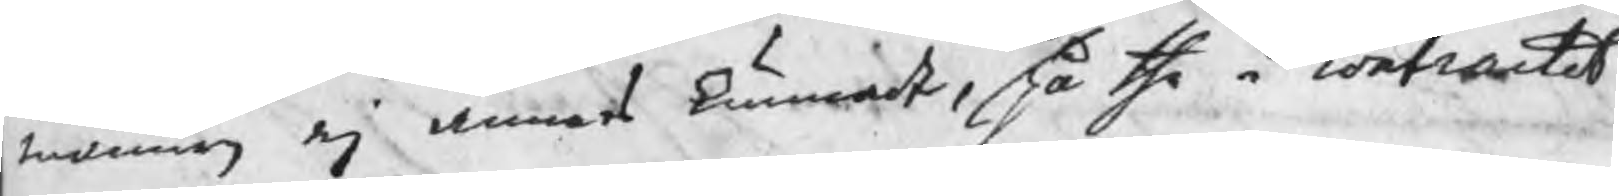männen ej annat kunnat, på the i contractet
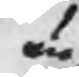än
